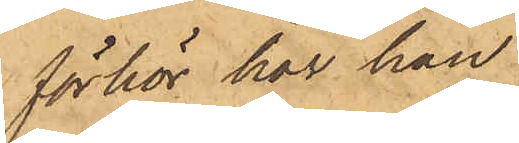förhör har han
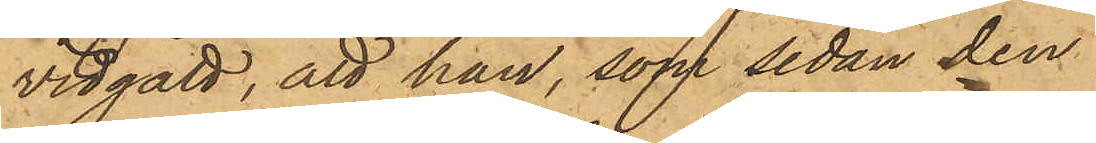vidgått, att han, som sedan den
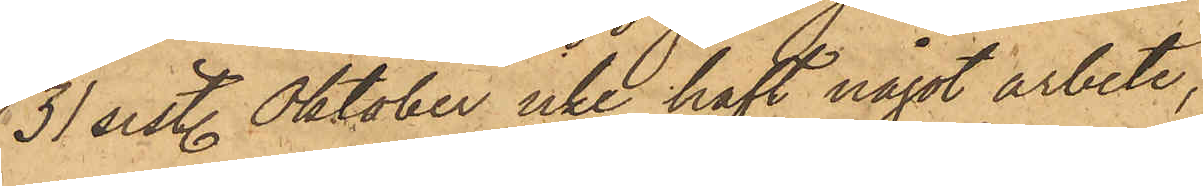31 sist. Oktober icke haft något arbete,
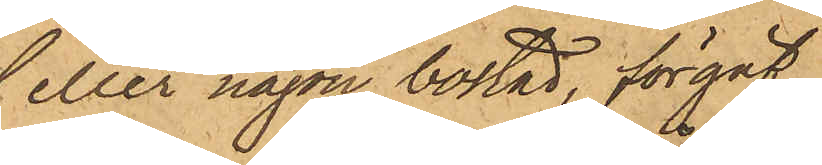eller någon bostad, förgäf¬
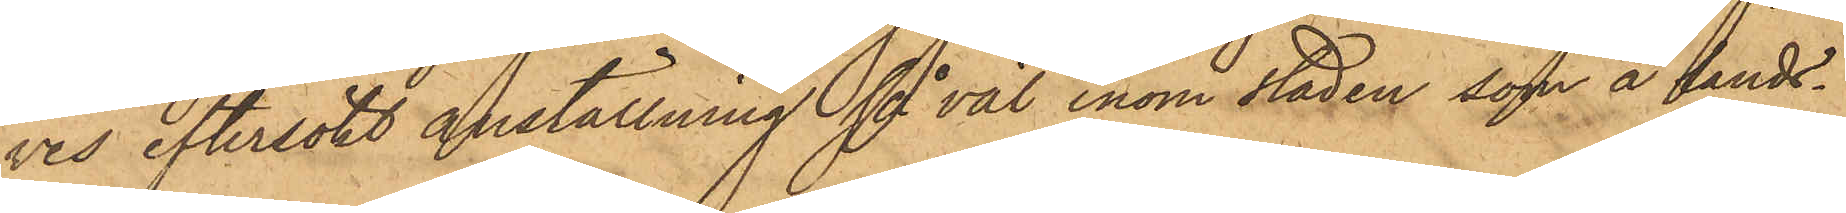ves eftersökt anställning såväl inom staden, som å Lands¬
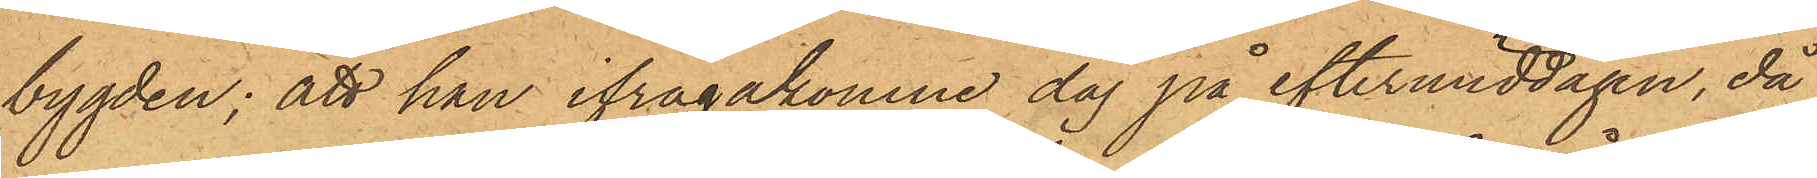bygden; att han ifrågakomne dag på eftermiddagen, då
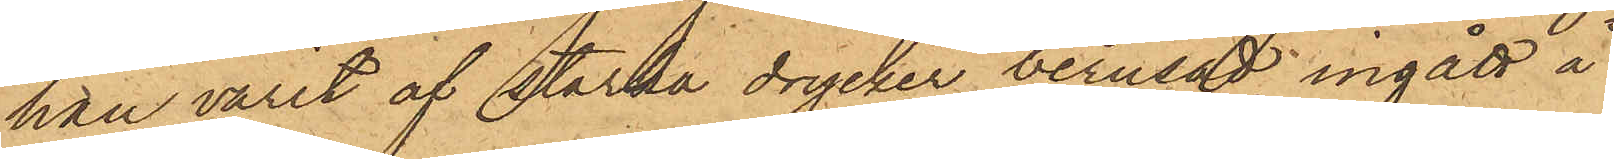han varit af starka drycker berusad, ingått å
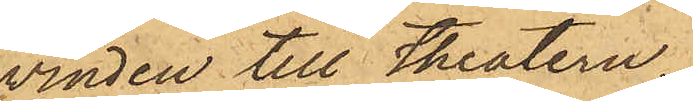vinden till Theatern,
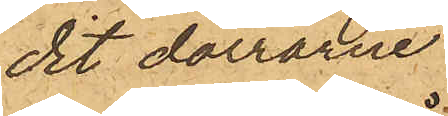dit dörrarne
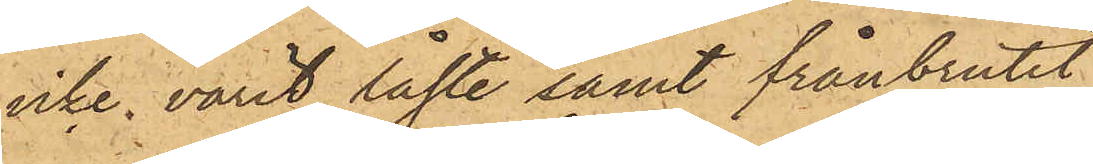icke varit låste samt frånbrutit
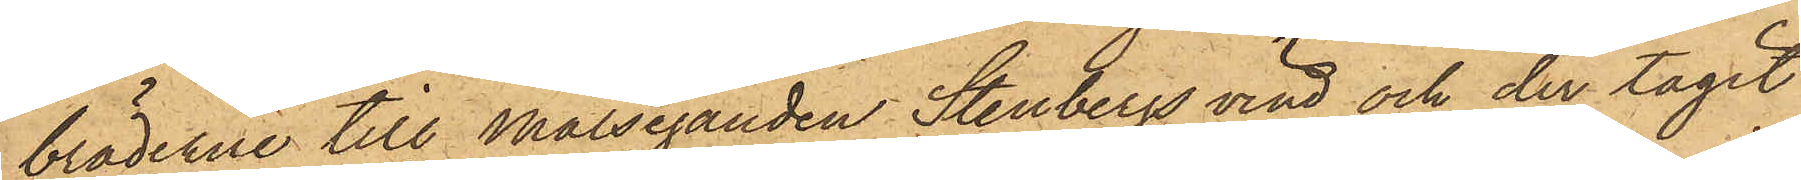bräderne till Målseganden Stenbergs vind och der tagit
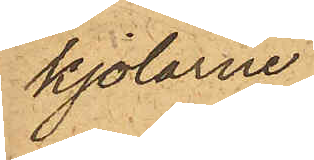kjolarne,
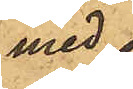med
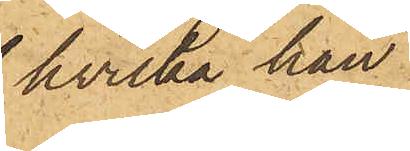hvilka han
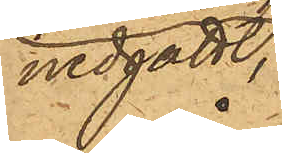nedgått
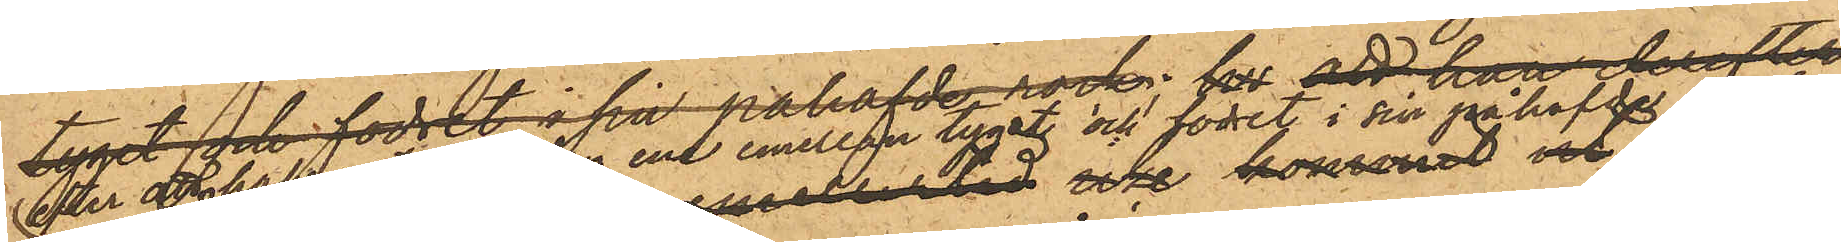efter att hafva stoppat den ene mellan tyget och fodret i sin påhafde rock;
